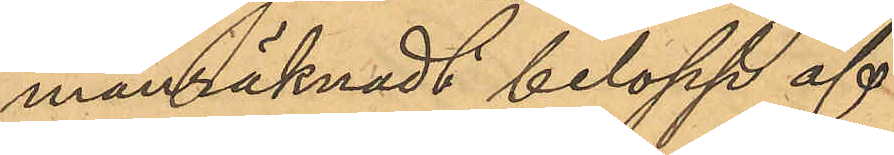manräknadt belopp af
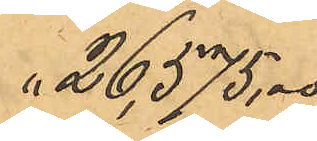26,575,00
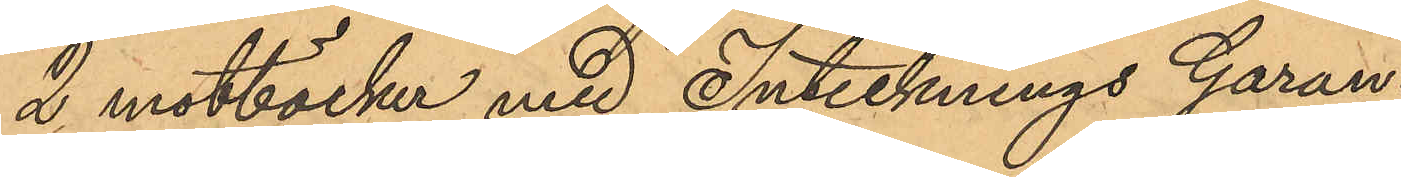2 motböcker med Intecknings Garan¬
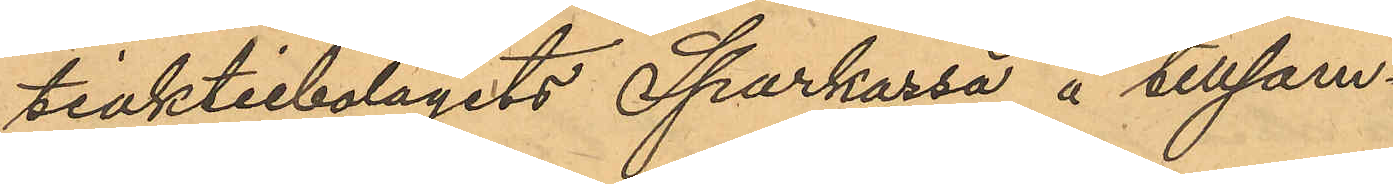tiaktiebolagets Sparkassa å tillsam¬
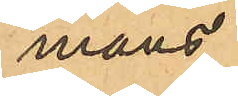mans
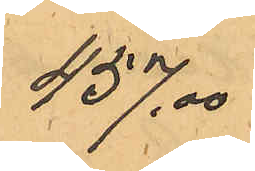457,00
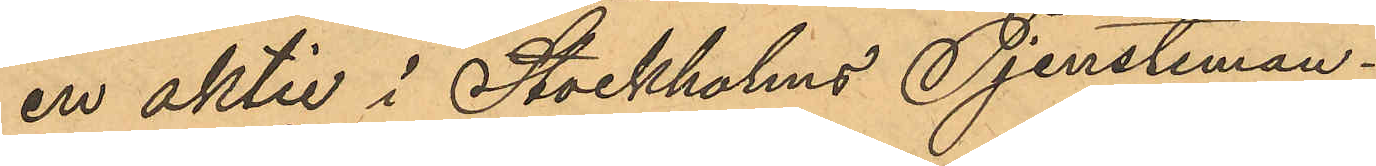en aktie i Stockholms Tjensteman¬
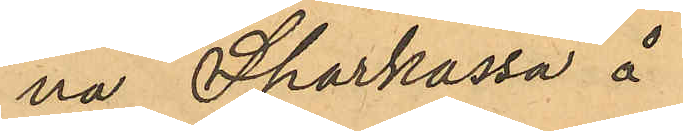na Sparkassa å
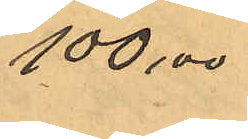100,00
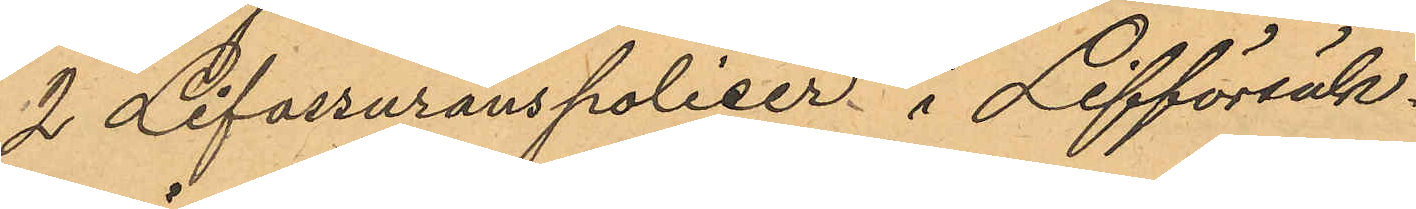2 Lifassuranspoliser i Lifförsäk¬
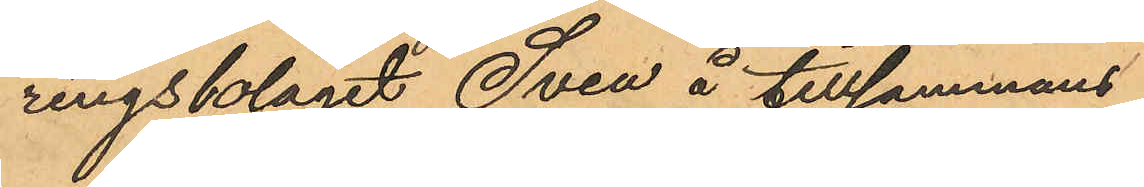ringsbolaget Svea å tillsammans
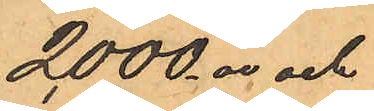2000,00 och
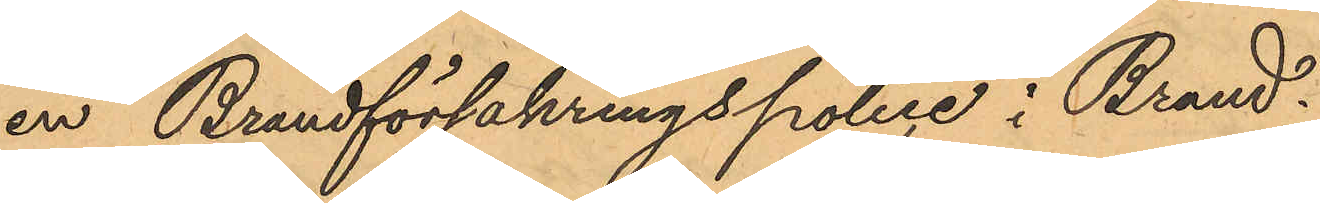en Brandförsäkringspolise i Brand¬
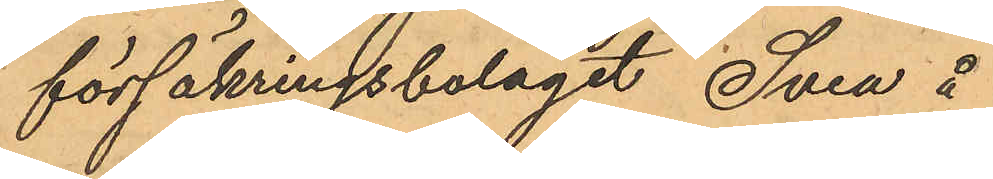försäkringsbolaget Svea å
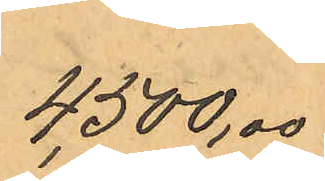4,500,00
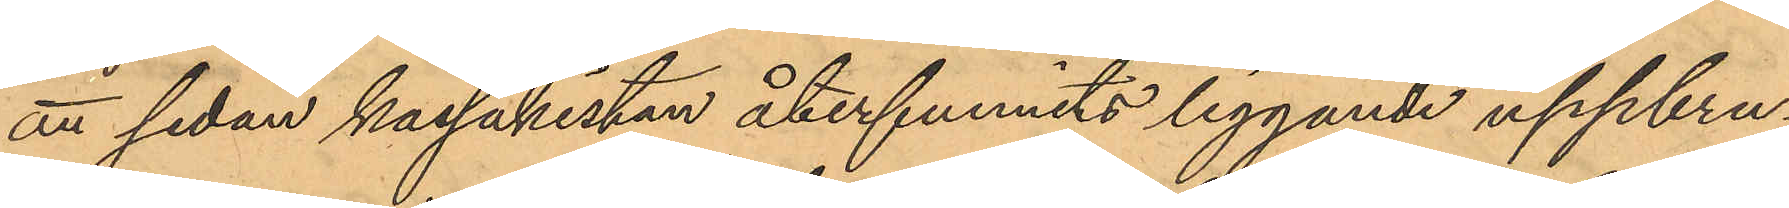att sedan kassakistan återfunnits liggande uppbru¬
